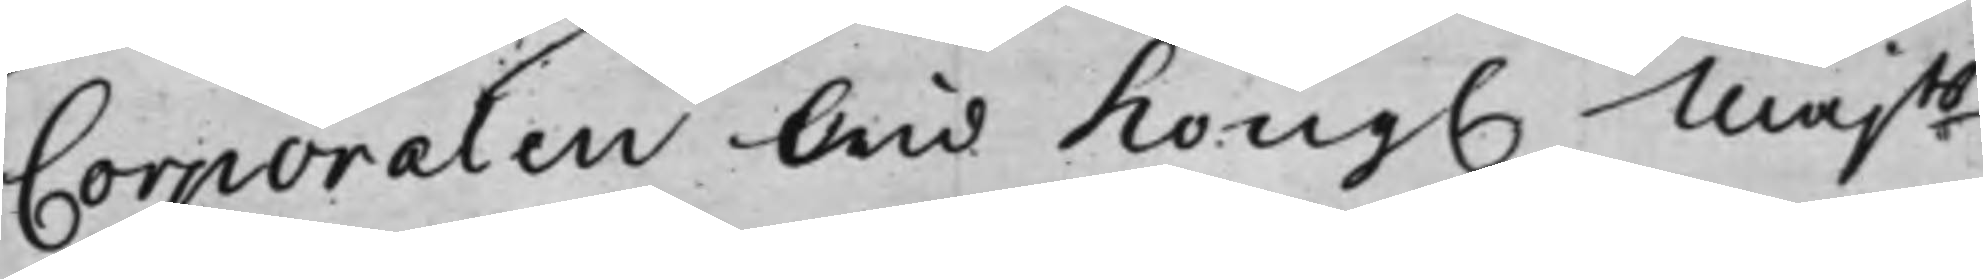Corporalen wid Kong. Majts
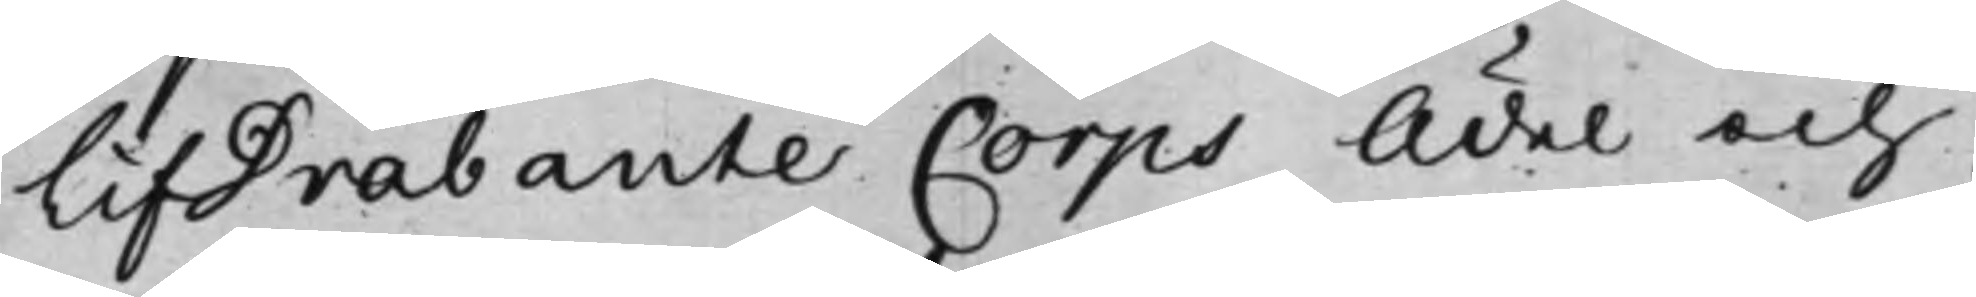LifDrabante Corps Ädel och
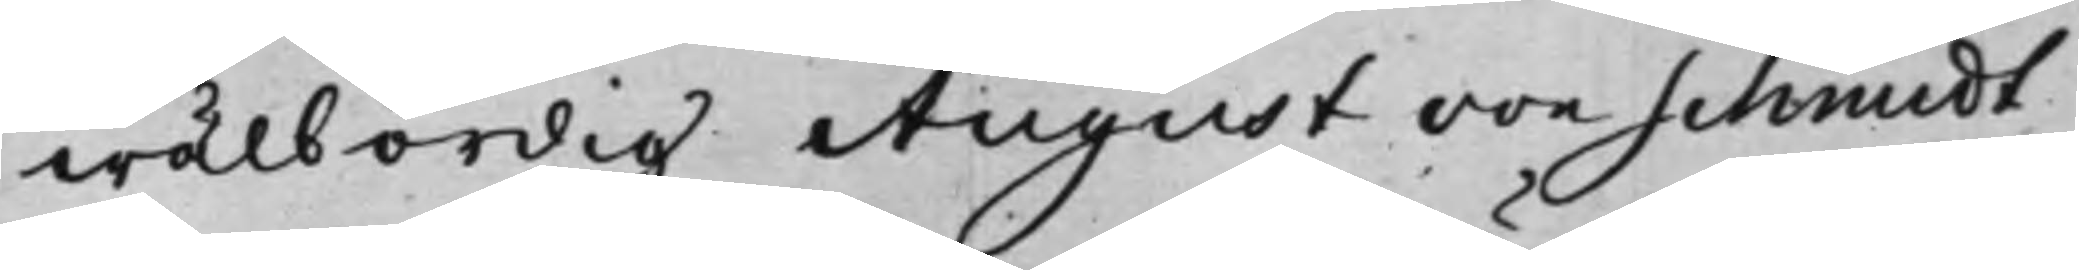wälbördig August von Schmidt
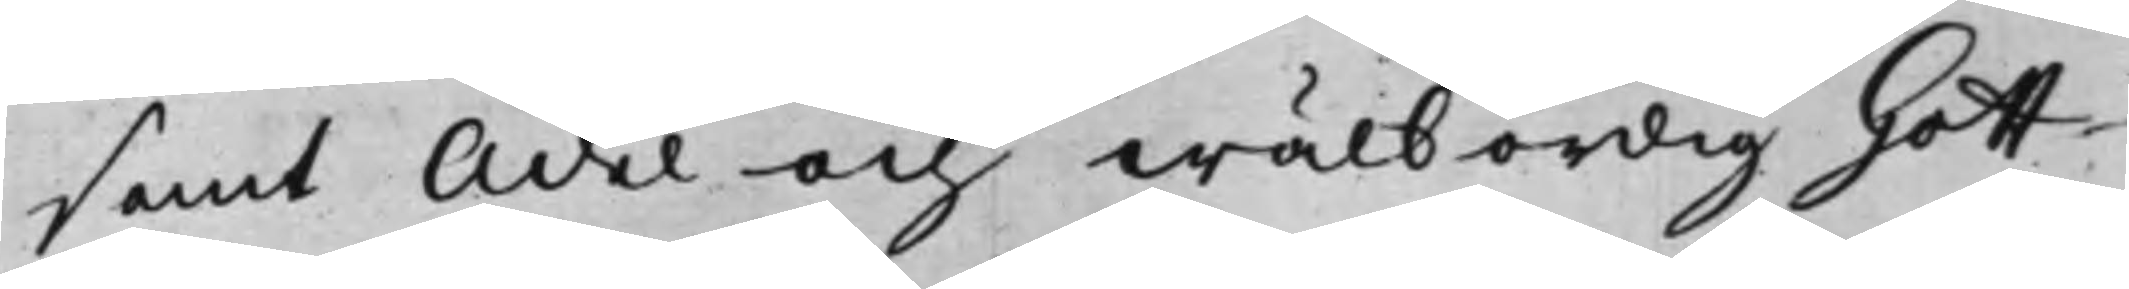samt Ädel och wälbördig Gott¬
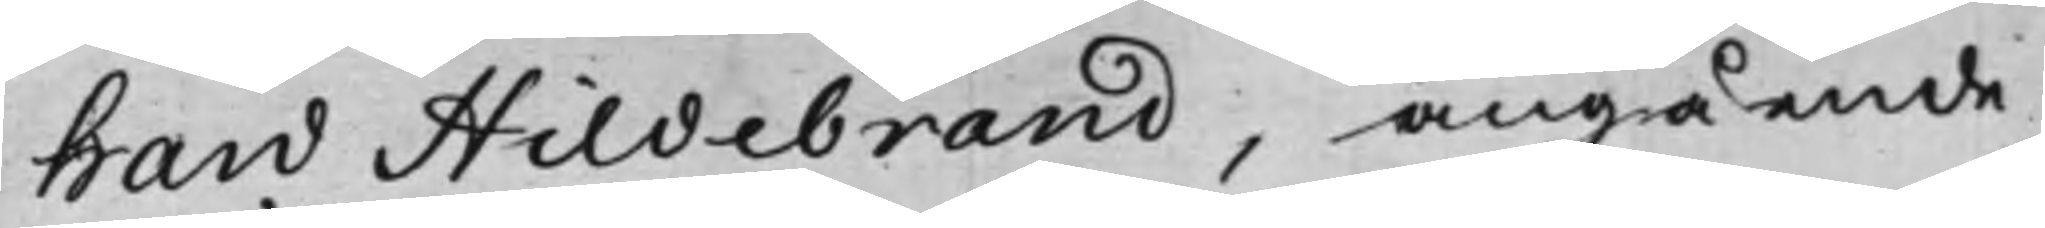hard Hildebrand, angående
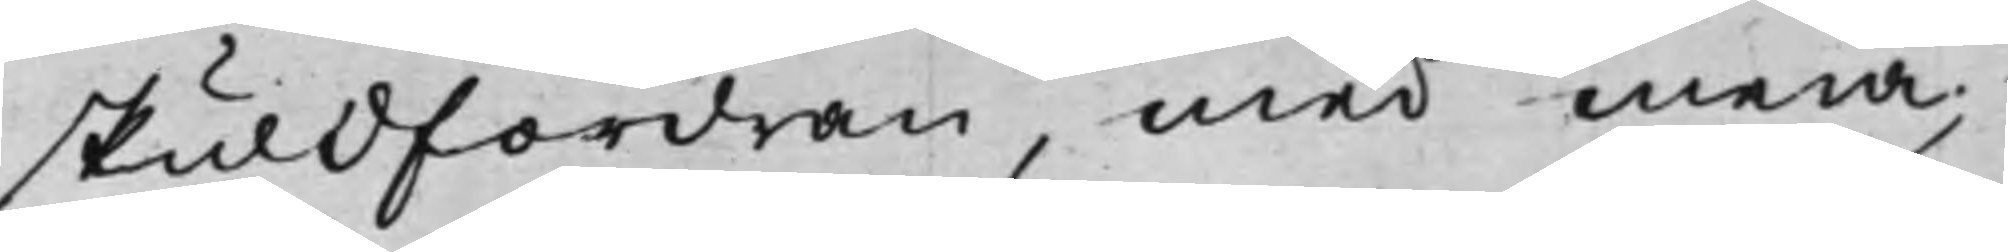skuldfordran, med mera;
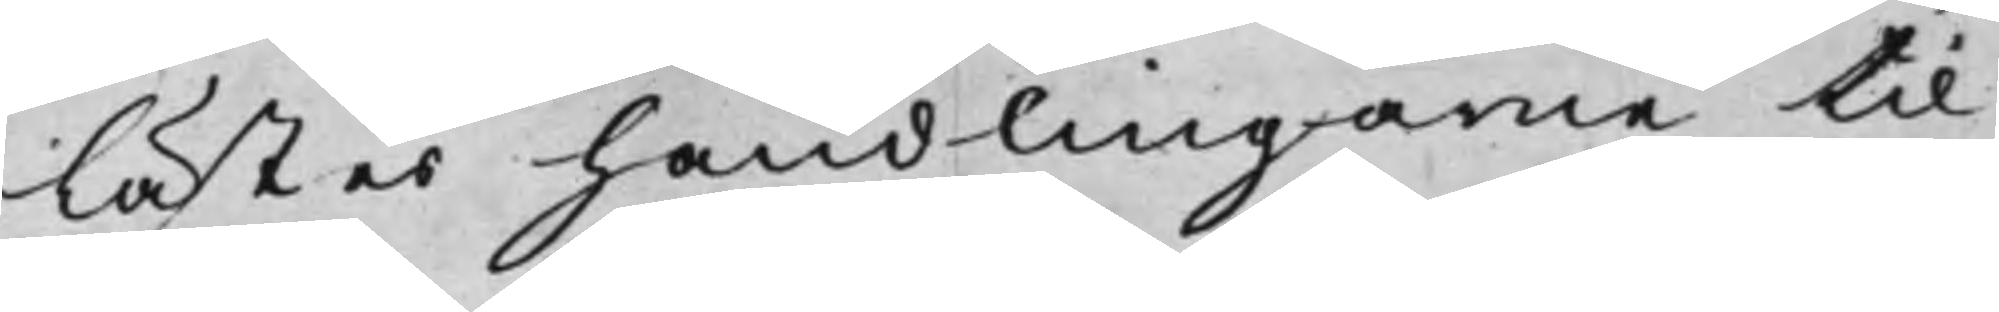Lästes handlingarne til
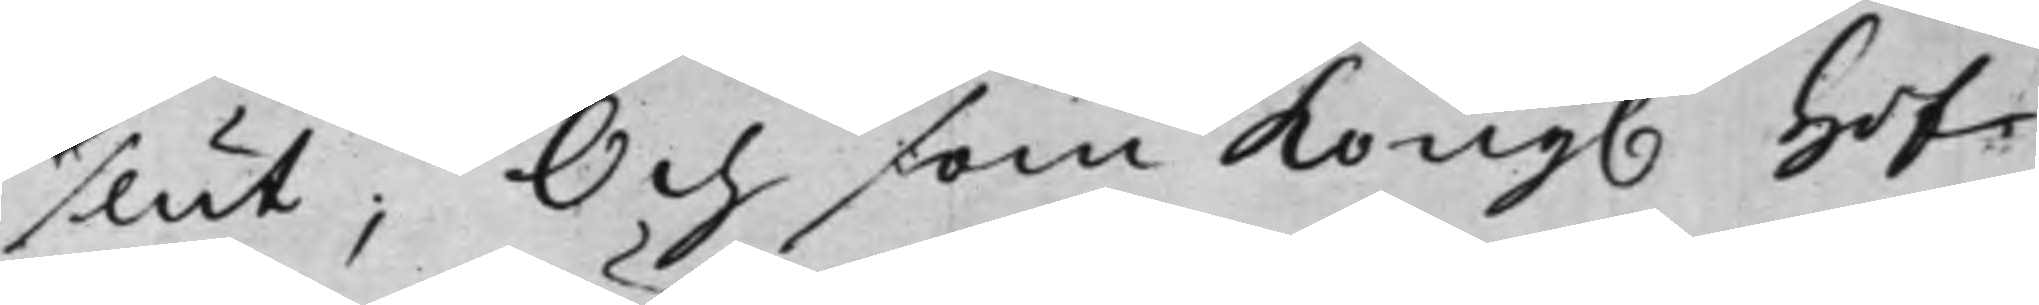slut; Och som Kong. Hof¬
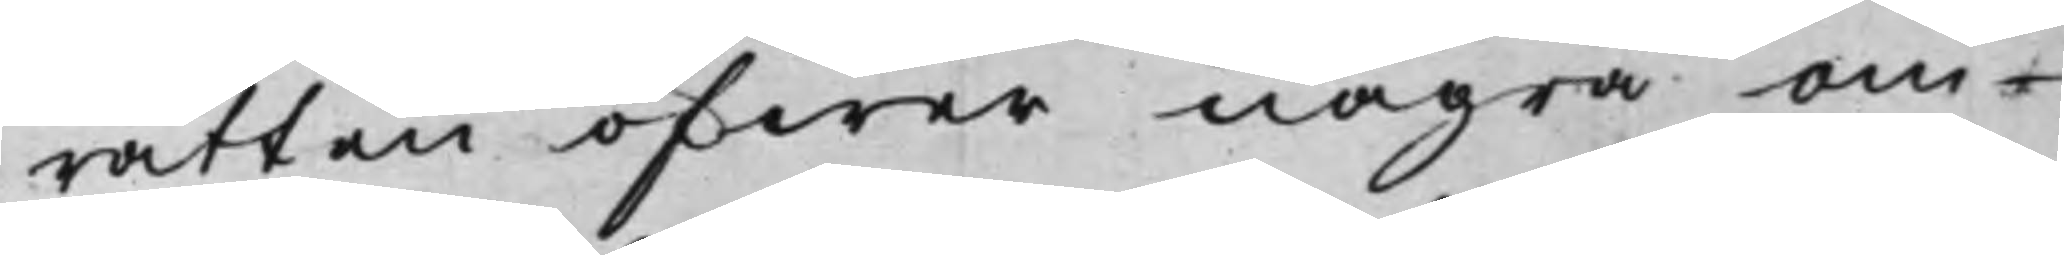rätten öfwer några om¬
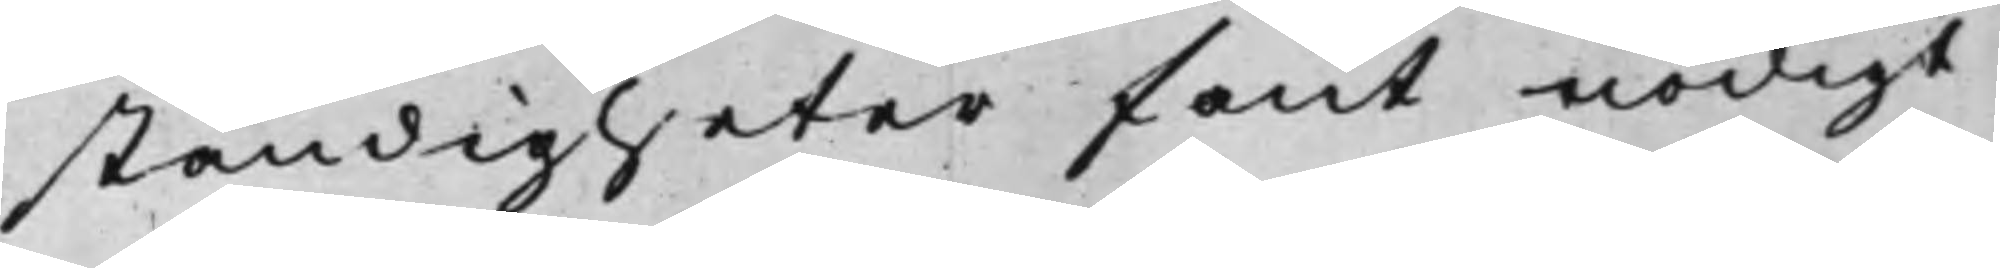ständigheter fant nödigt
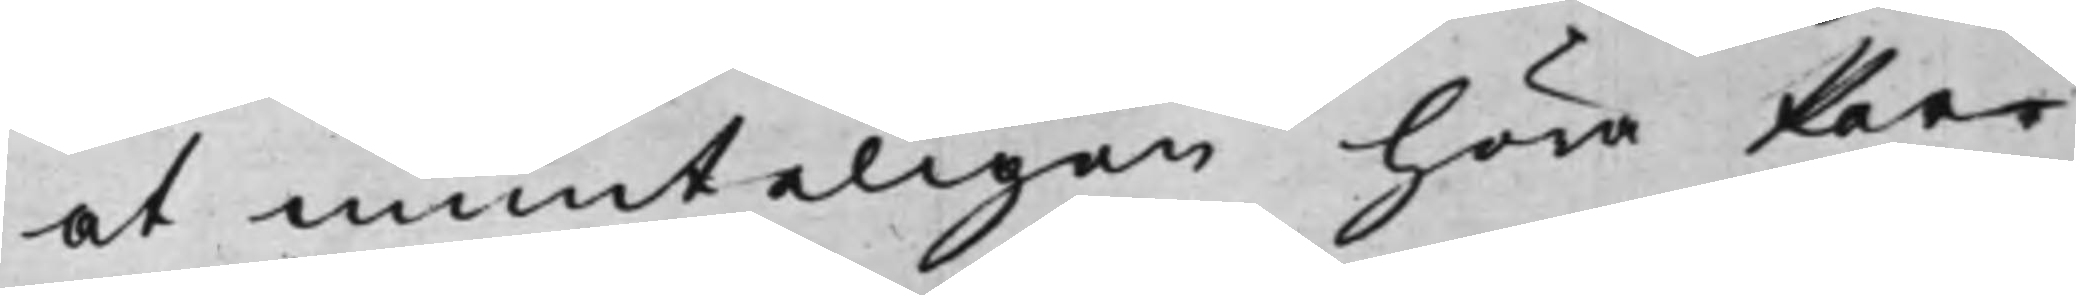at munteligen höra Par¬
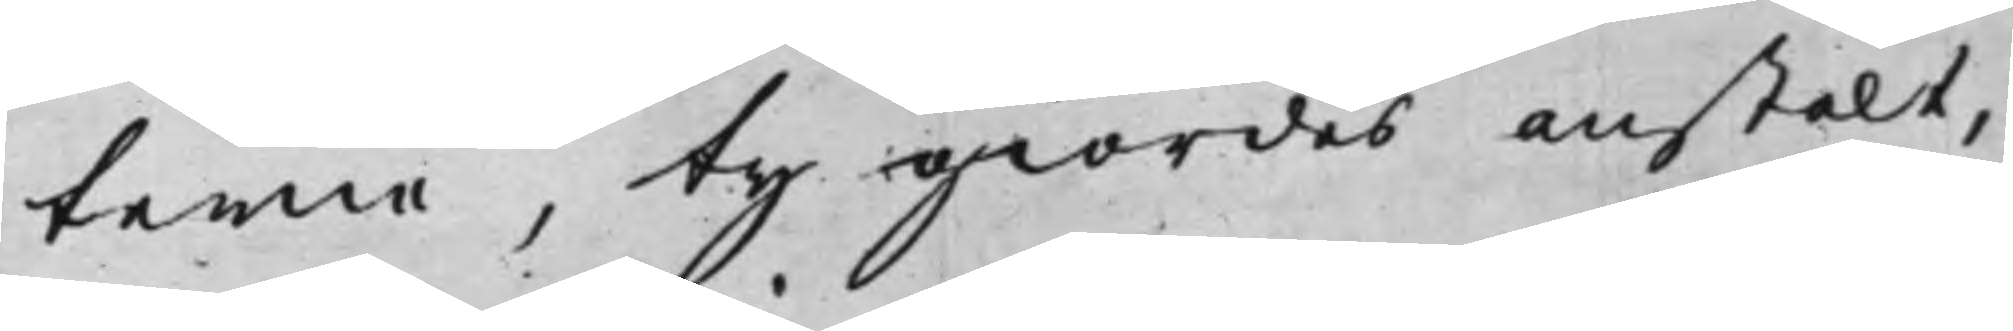terne, ty giordes anstalt,
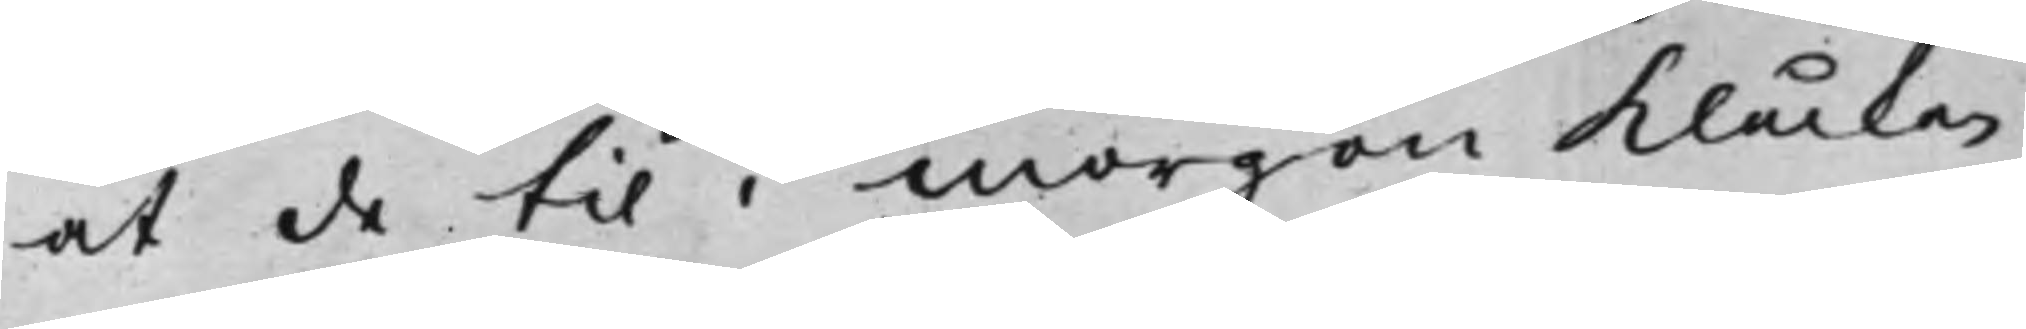at de til i morgon Klåckan
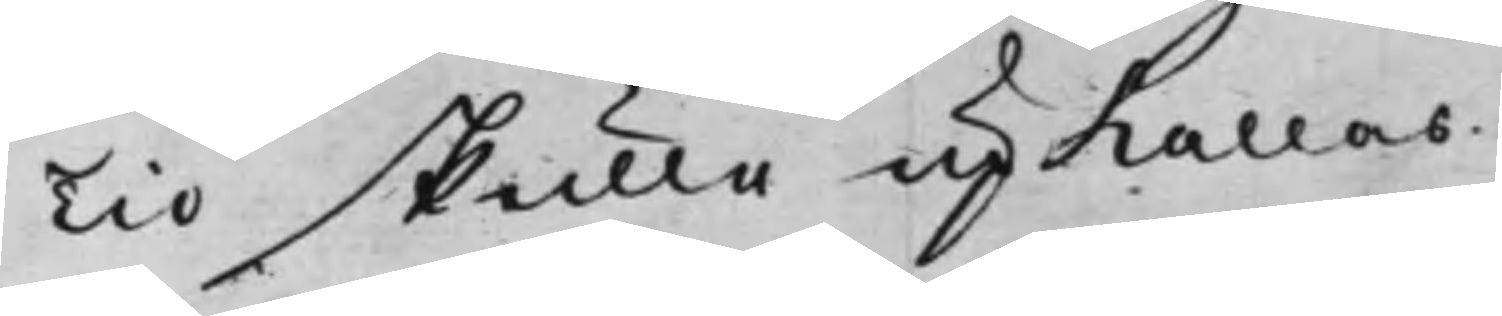Tio skulle upkallas.
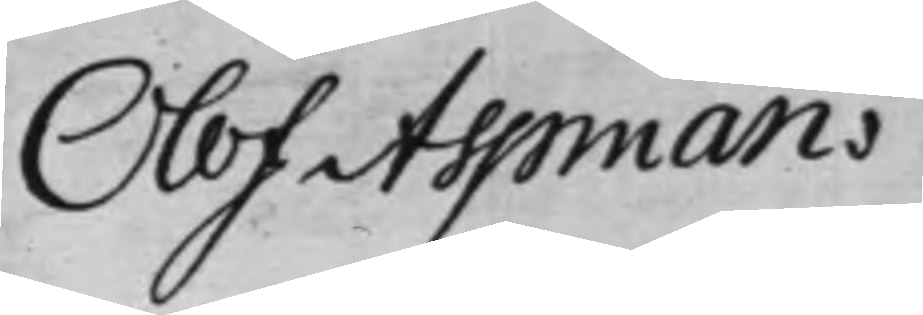Olof Aspman.
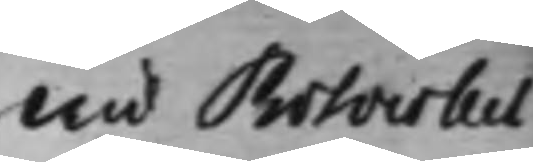Wid Protocollet
